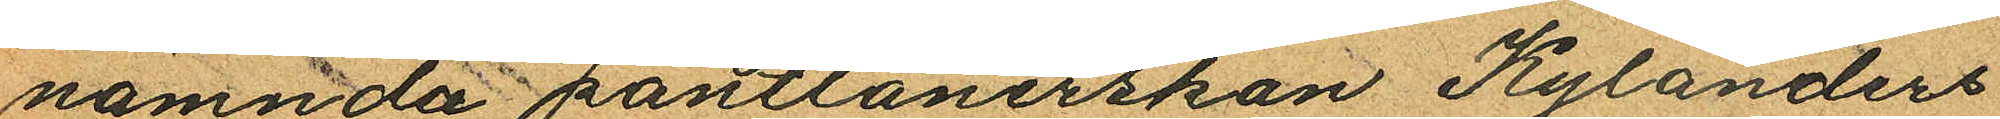nämnda pantlånerskan Kylanders
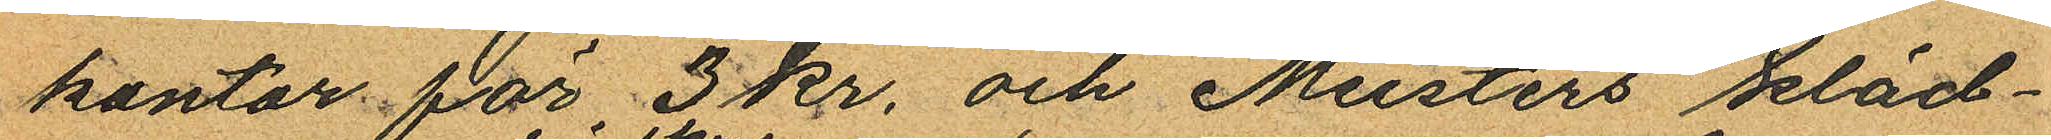kontor för 3 kr. och Meisters kläd¬
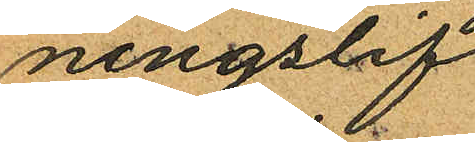ningslif
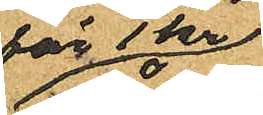för 1 kr
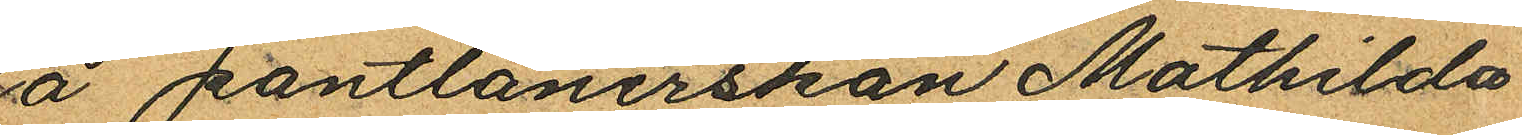å pantlånerskan Mathilda
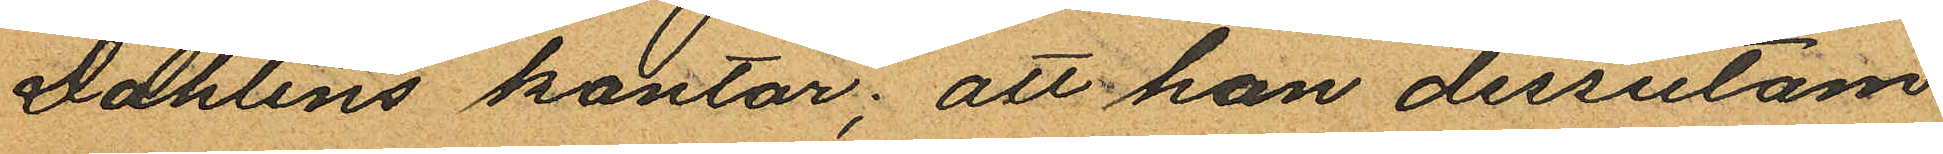Dahlins kontor; att hon dessutom
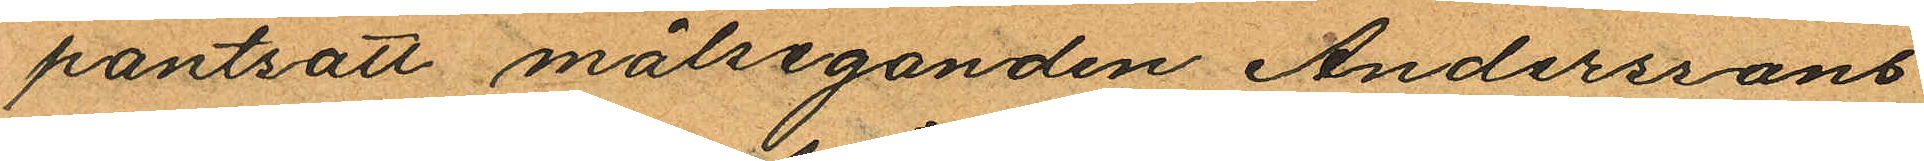pantsatt målseganden Anderssons
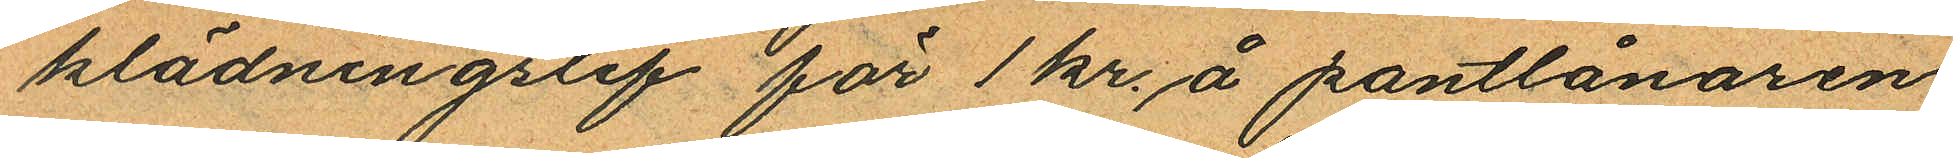klädningslif för 1 kr. å pantlånaren
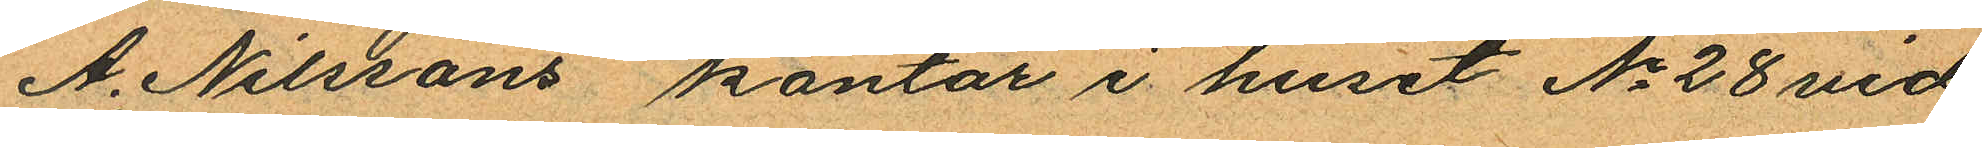A. Nilssons kontor i huset No 28 vid
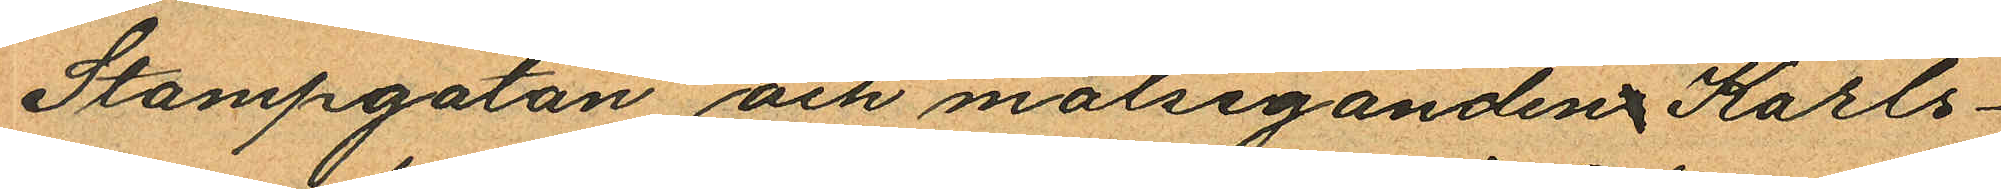Stampgatan och målseganden Karls¬
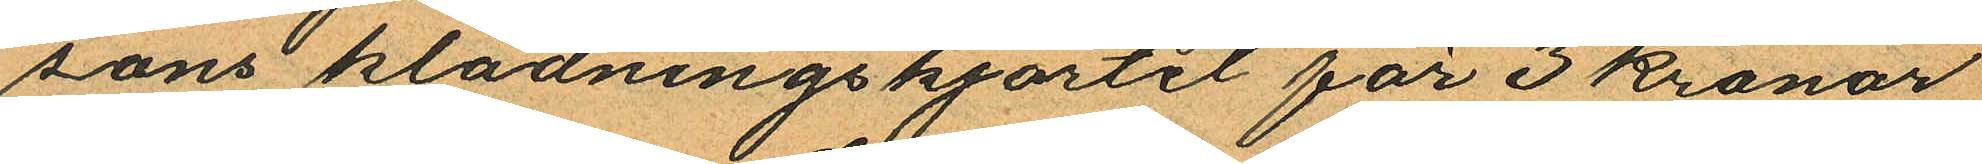sons klädningskjortel för 3 kronor
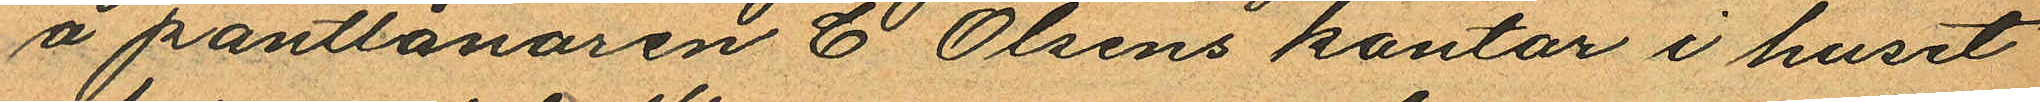å pantlånaren C Olsens kontor i huset
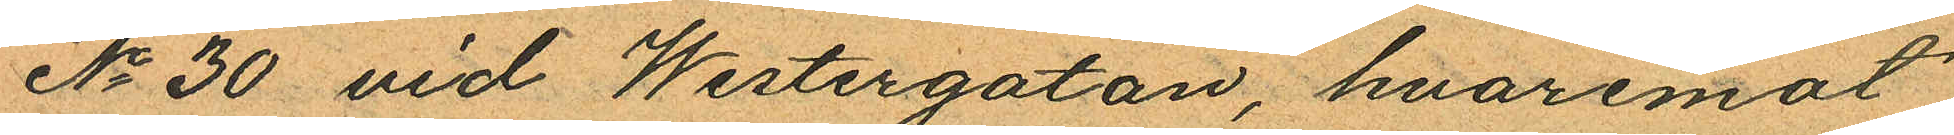No 30 vid Westergatan, hvaremot
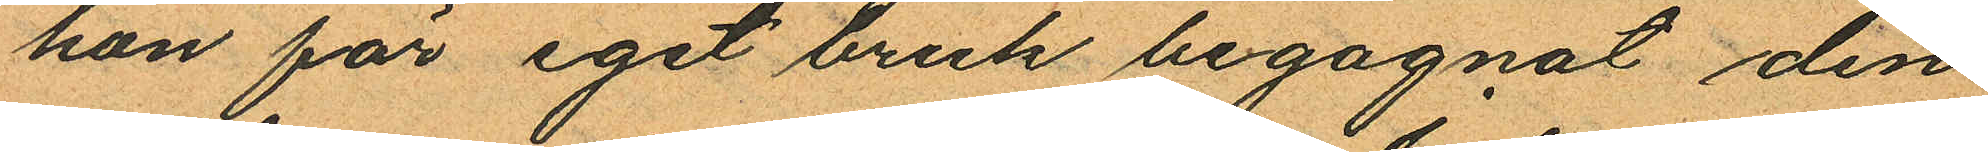hon för eget bruk begagnat den
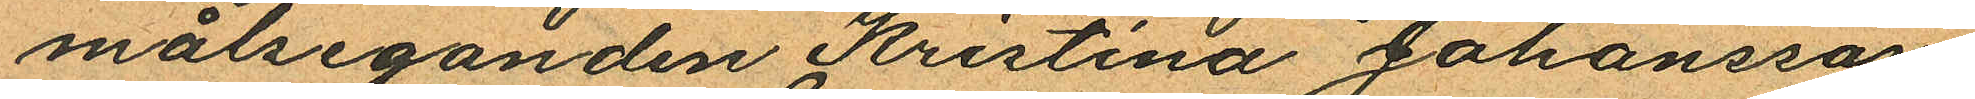målseganden Kristina Johansson
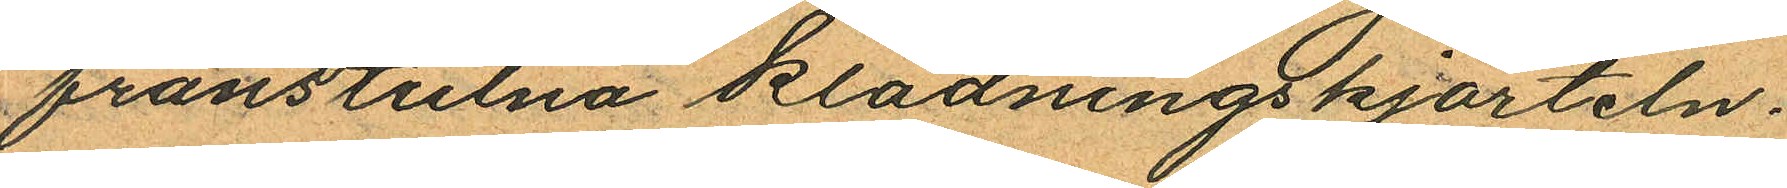frånstulna klädningskjorteln.
